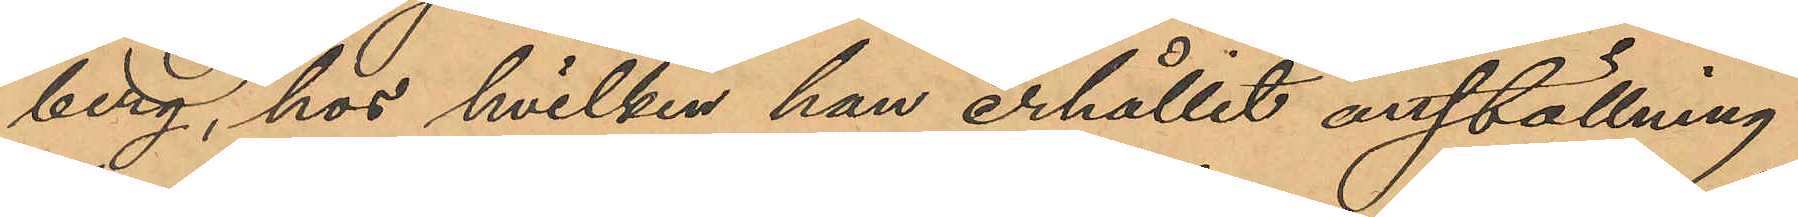berg, hos hvilken han erhållit anställning
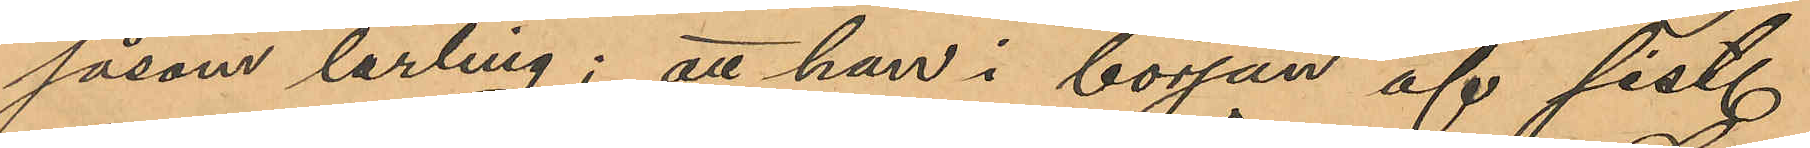såsom lärling; att han i början af sist.
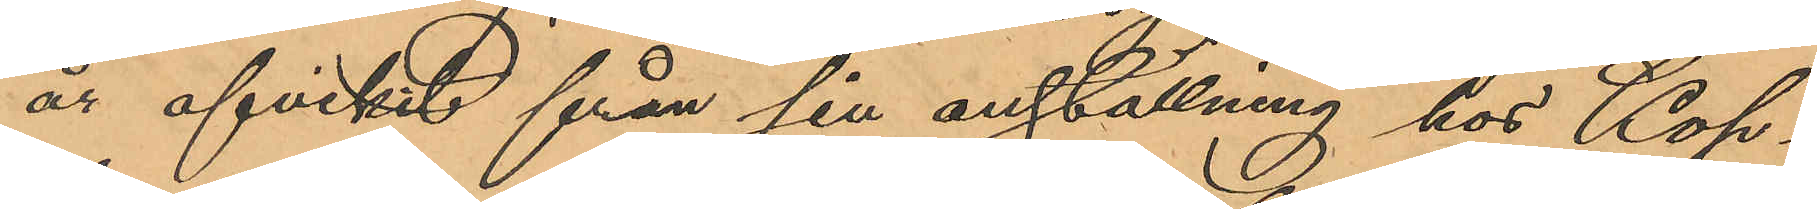år afvikit från sin anställning hos Kop¬
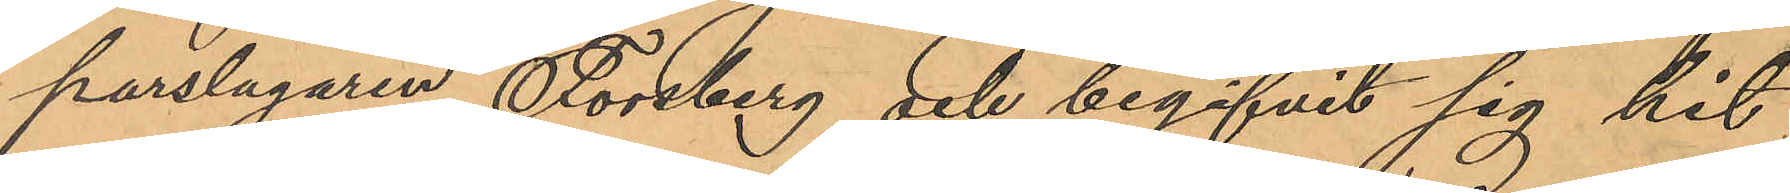parslagaren Forsberg och begifvit sig hit
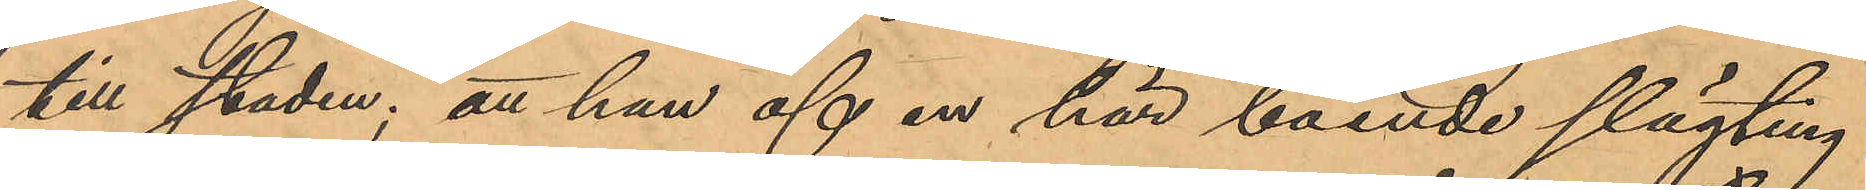till staden; att han af en här boende slägting
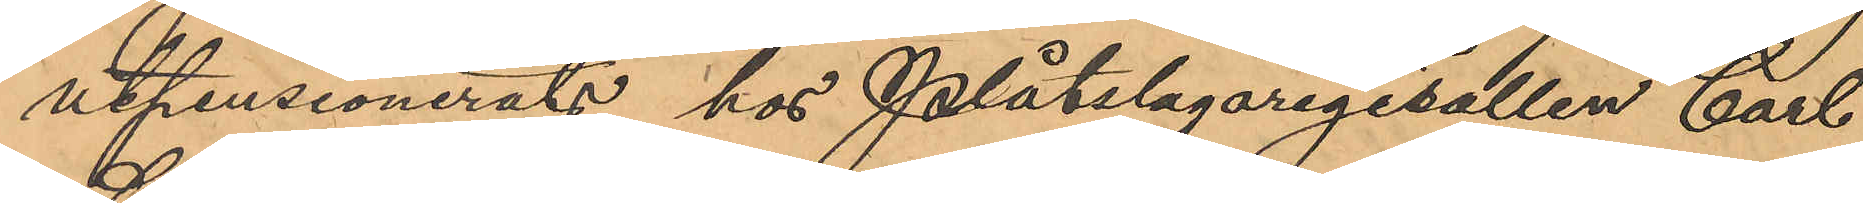utpensionerats hos Plåtslagaregesällen Carl
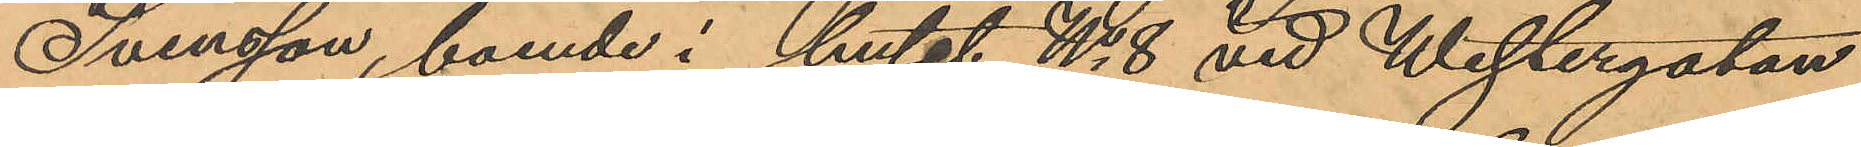Svensson, boende i huset No 8 vid Westergatan,
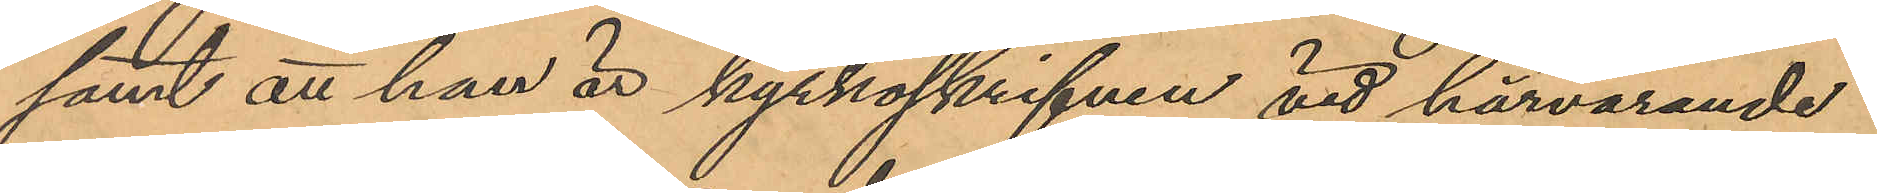samt att han är kyrkoskrifven vid härvarande
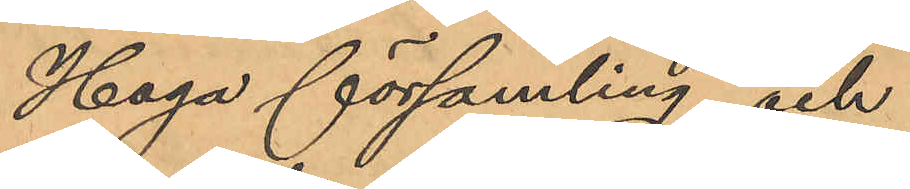Haga församling och
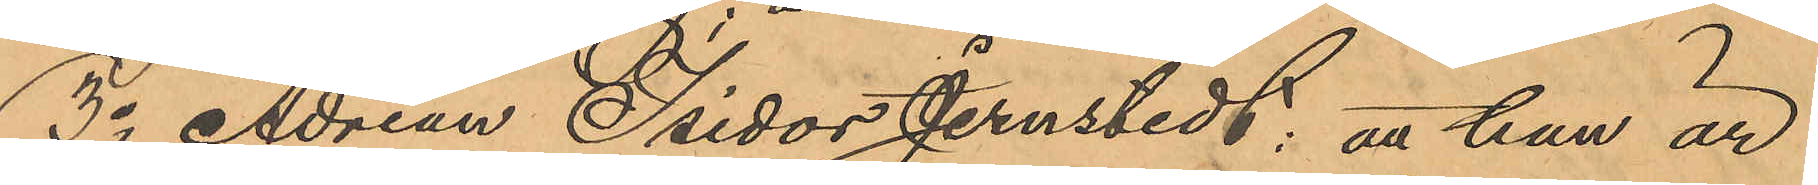3o Adrian Isidor Jernstedt: att han är
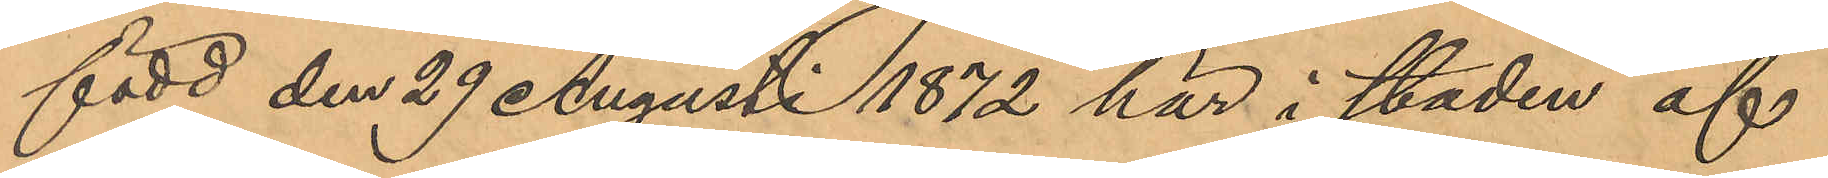född den 29 Augusti 1872 här i staden af
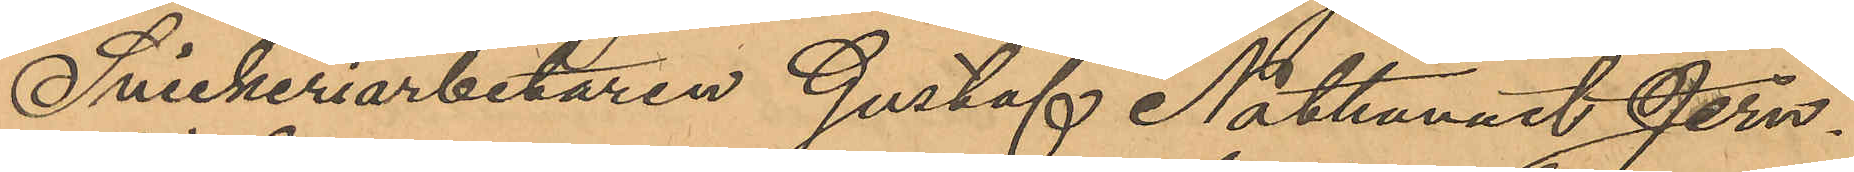Snickeriarbetaren Gustaf Nathanael Jern¬
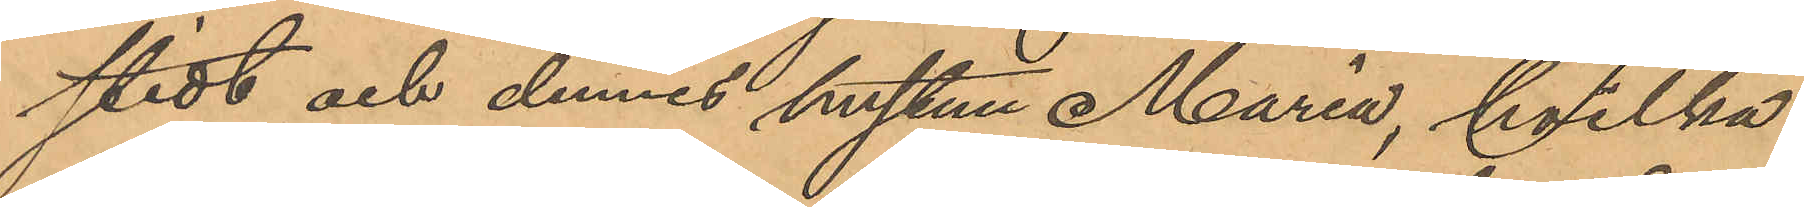stedt och dennes hustru Maria, hvilka
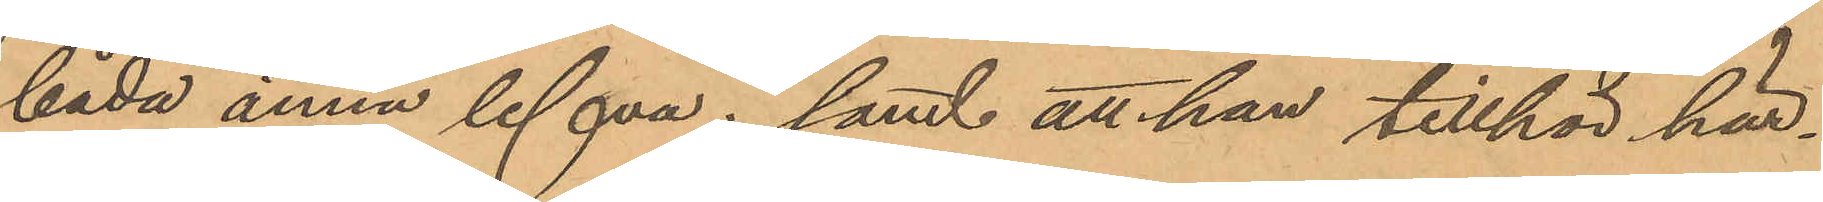båda ännu lefva; samt att han tillhör här¬
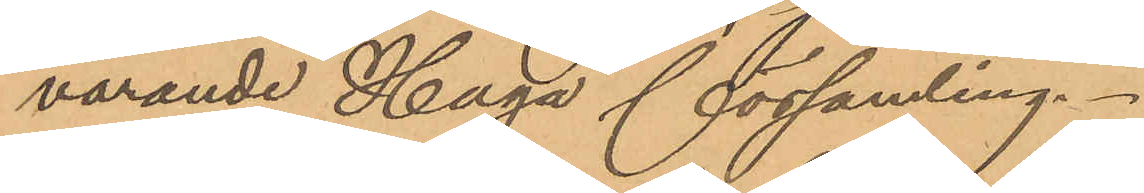varande Haga församling.
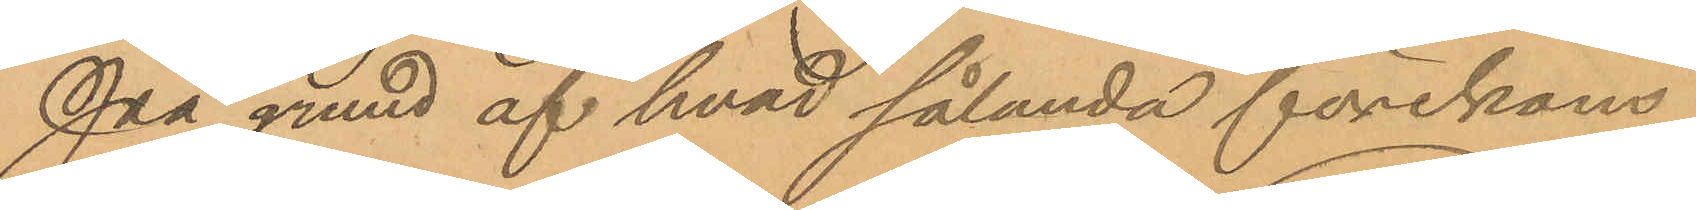På grund af hvad sålunda förekom¬
